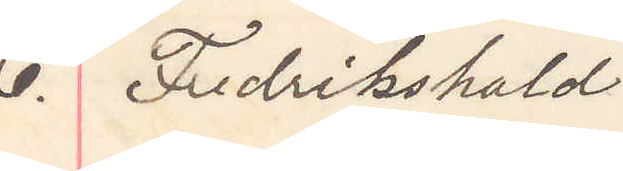6. Fredrikshald
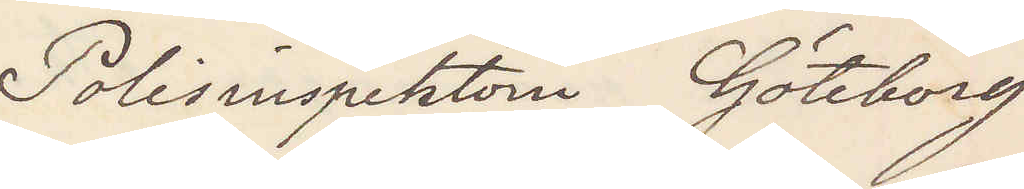Polisinspektorn Göteborg
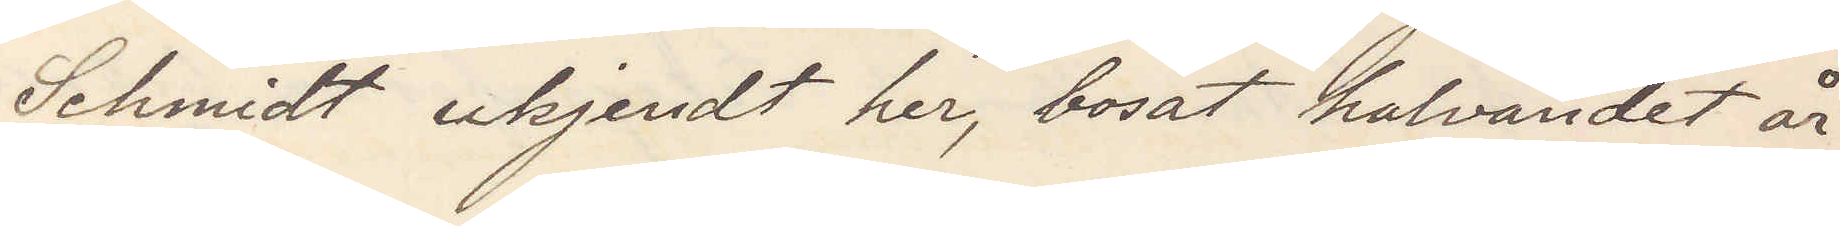Schmidt ukjendt her, bosat halvandet år
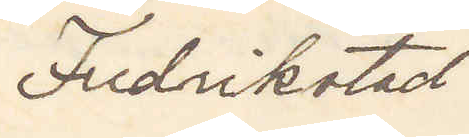Fredrikstad
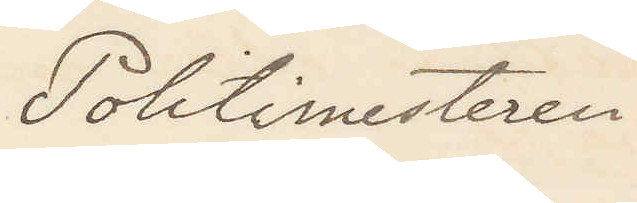Politimesteren
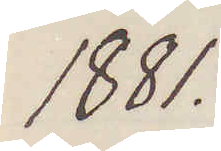1881.
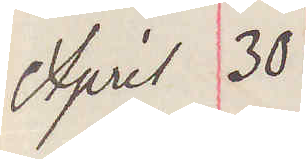April 30
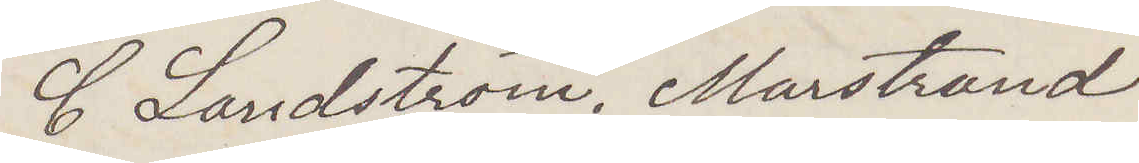C Landström. Marstrand
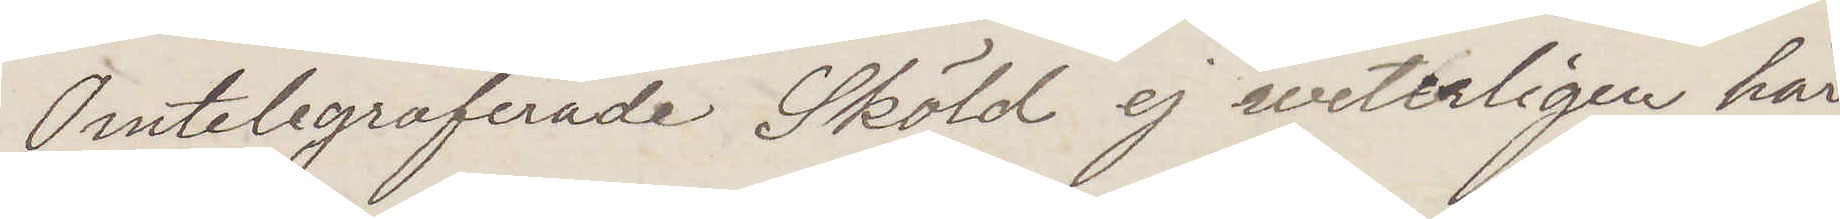Omtelegraferade Sköld ej weterligen här
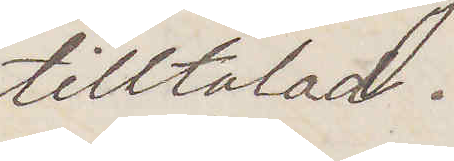tilltalad.
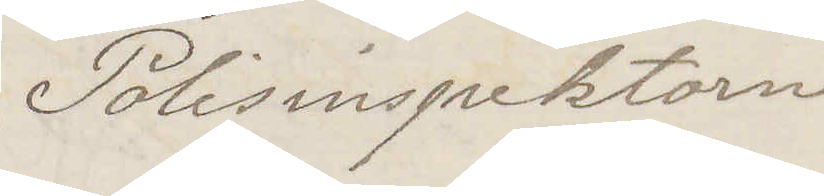Polisinspektorn
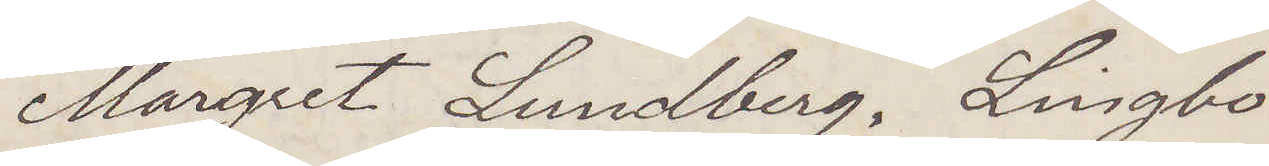Margret Lundberg, Lingbo.
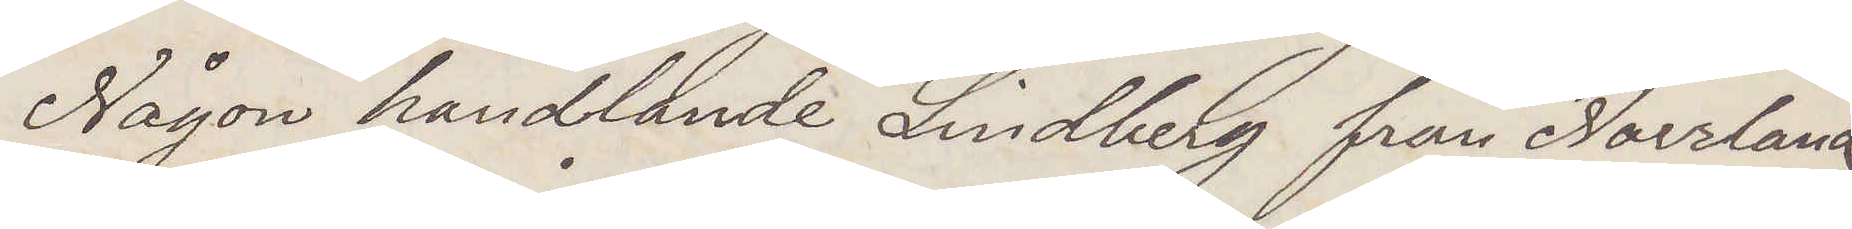Någon handlande Lindberg från Norrland
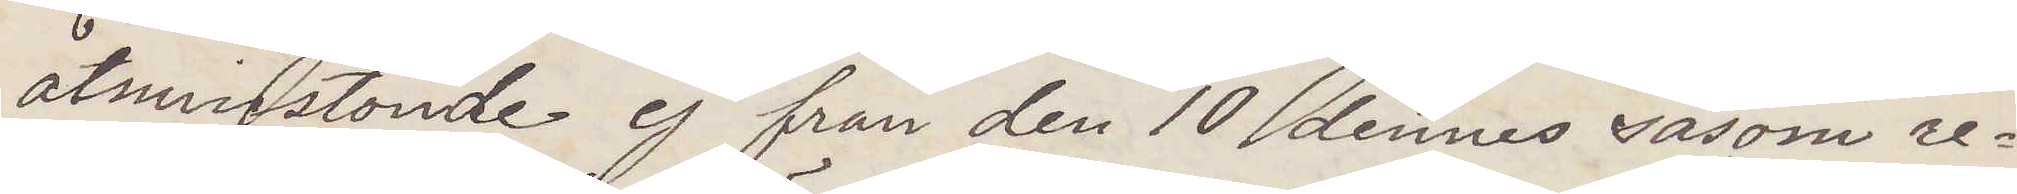åtminstonde ej från den 10 dennes såsom re¬
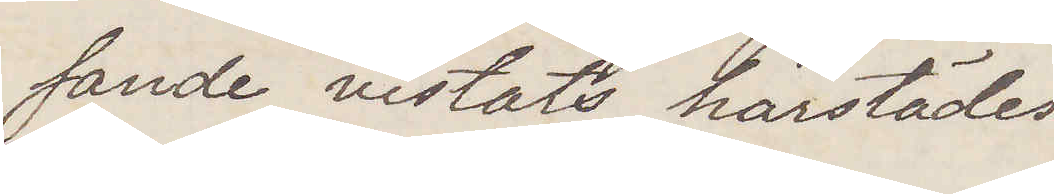sande vistats härstädes
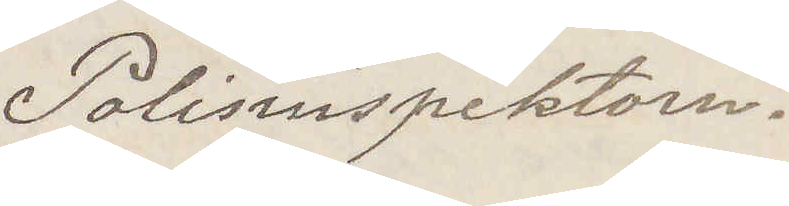Polisinspektorn.
